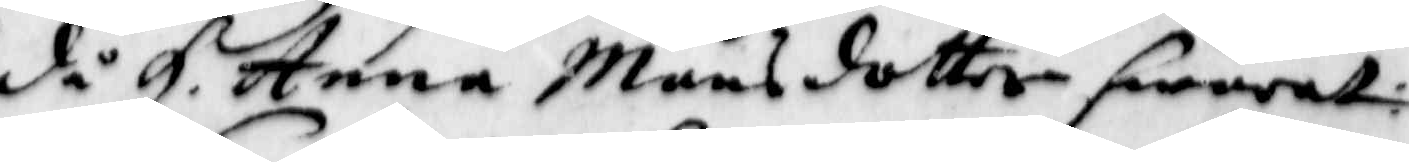då H. Anna Månsdotter swarat:
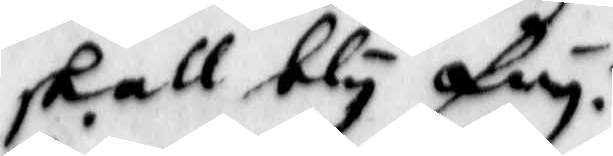skall bly fry. 
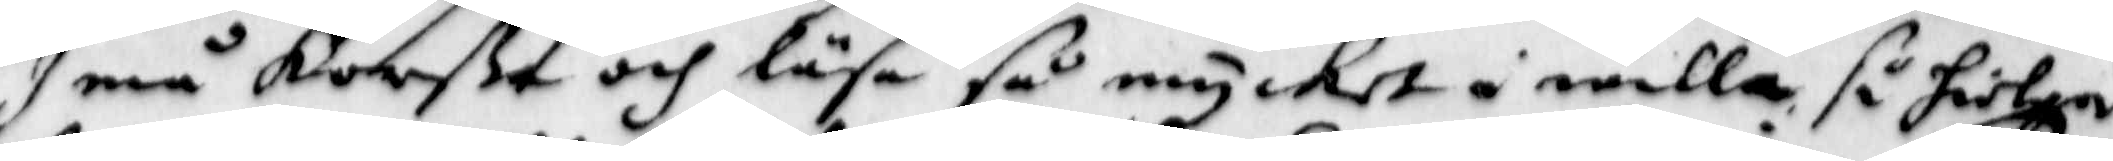I må korßa och läsa så mycket i willa så hielpa
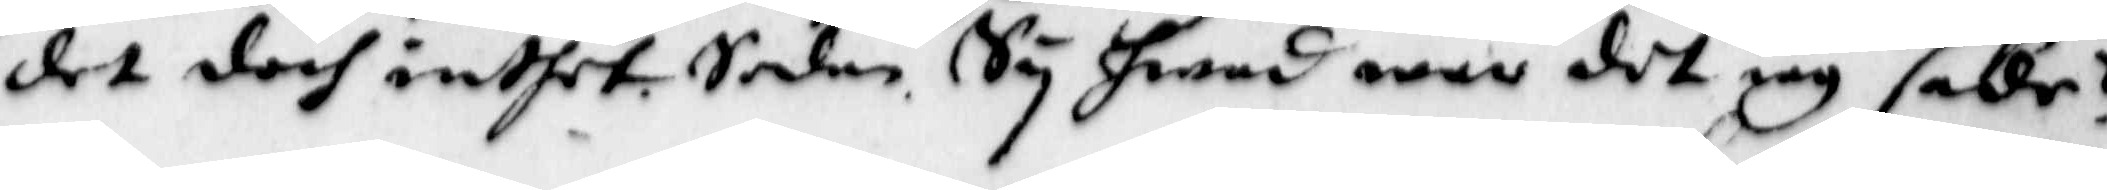det doch intet. Sedan Sy hwad war det iag sade?
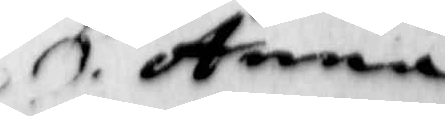H. Anna
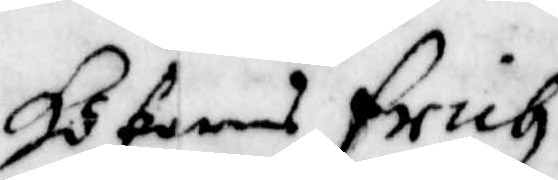Hökarens Erich
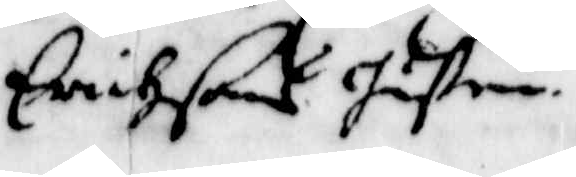Erichßons hustru
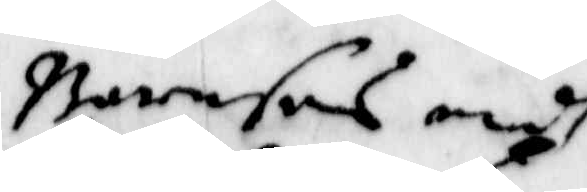Barnsens medh
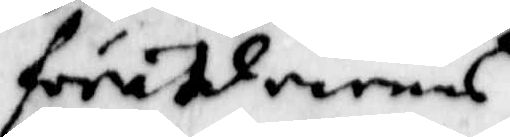föräldrarnas
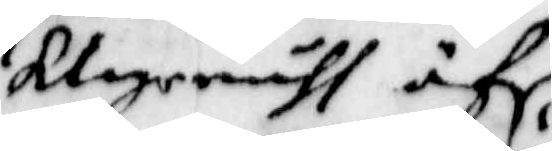klagomåhl öfr.
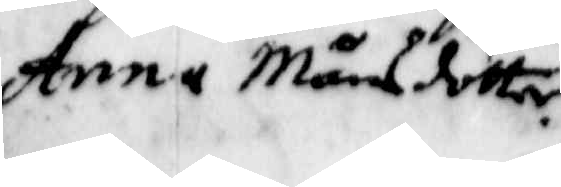Anna Månsdotter.
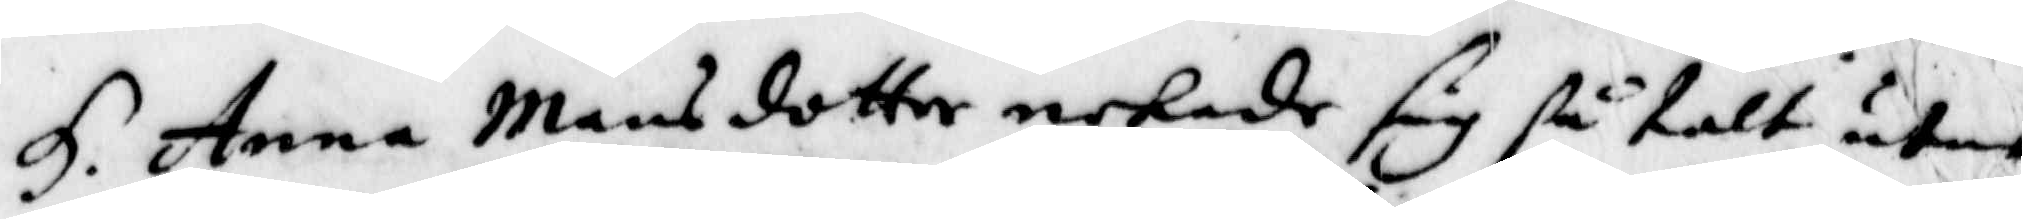H. Anna Månsdotter nekade sig så talt utan
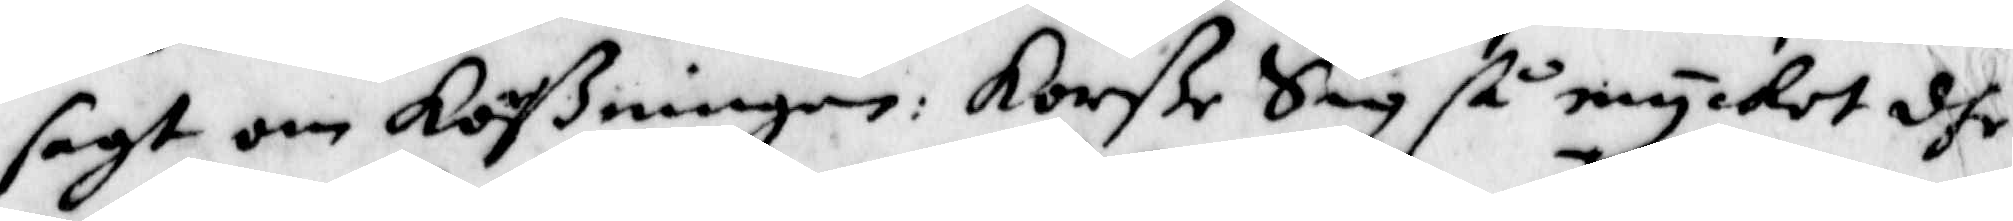sagt om Korßningen: Korße Sig så mycket dhe
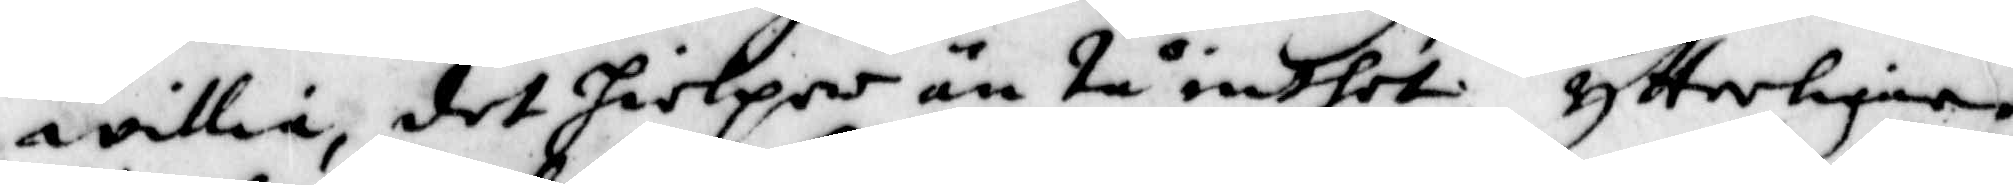willia, det hielper än tå inthet. Ytterligare
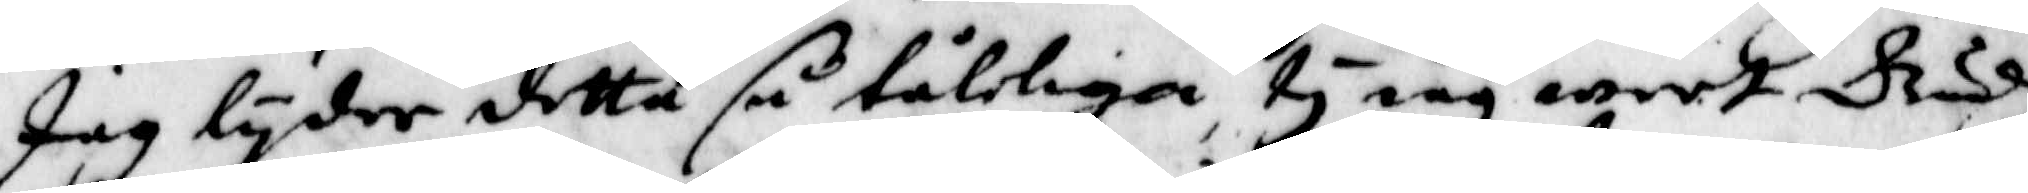Jag lyder detta så tåligen, ty iag weet Gudh
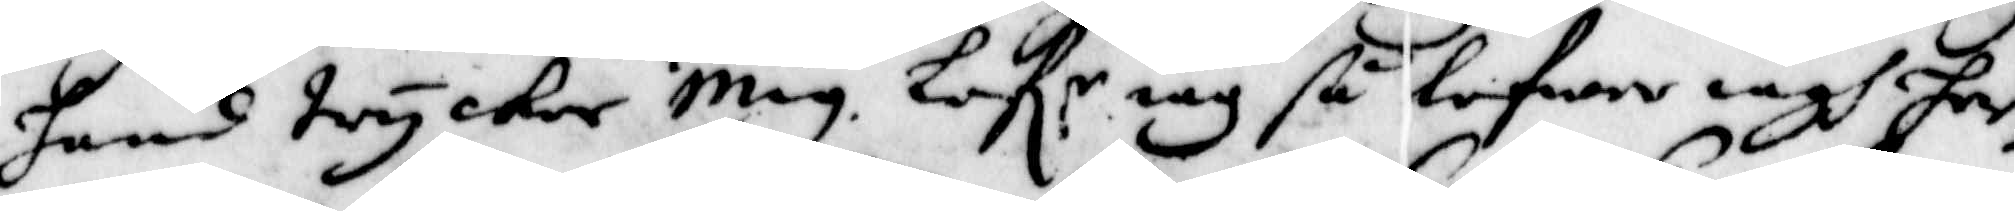hans trycker Mig. Lef:r iag så lefwer iagh her¬
